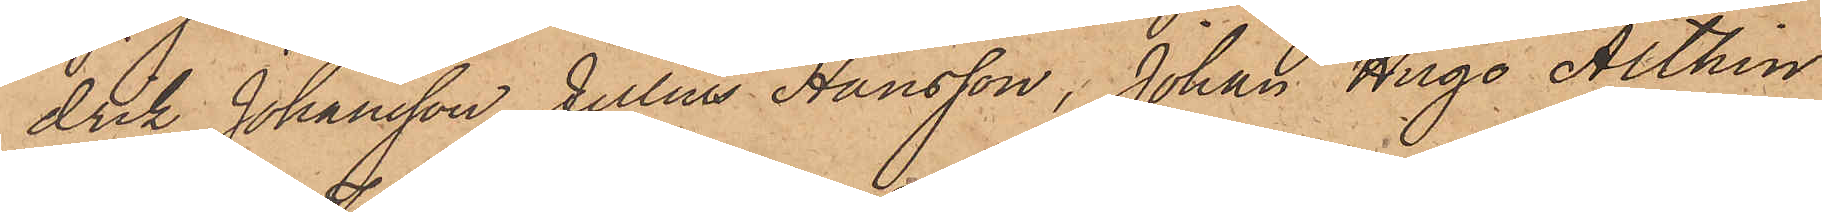drik Johansson, Julius Hansson, Johan Hugo Althin
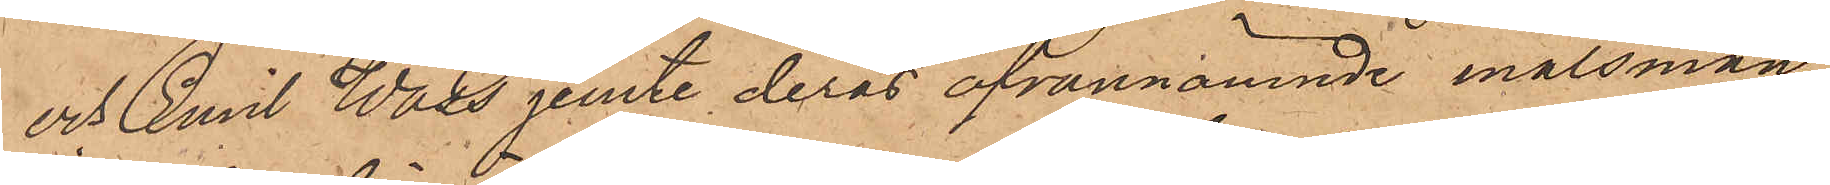och Emil Wass jemte deras ofvannämnde målsmän,
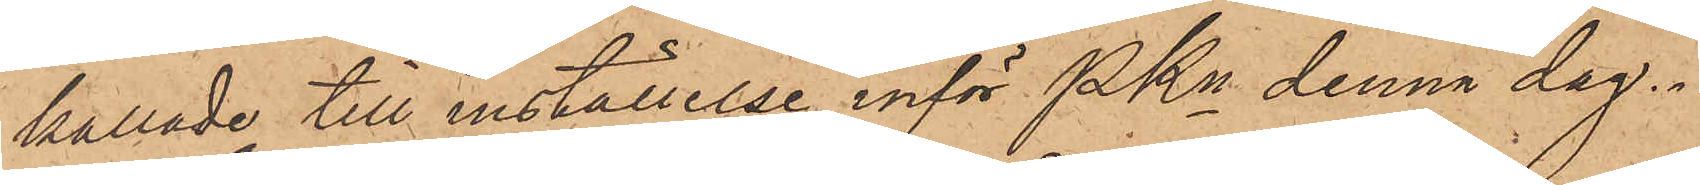kallade till inställelse inför Pkn denna dag.
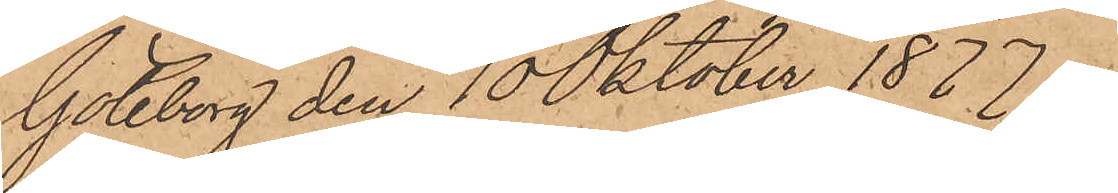Göteborg den 10 Oktober 1877.
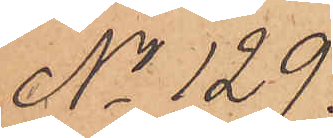No 129.
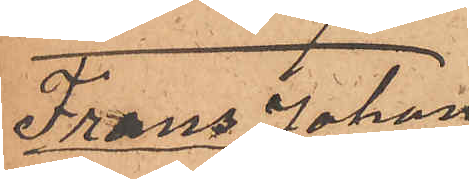Frans Johan
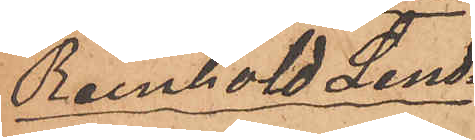Reinhold Lind¬
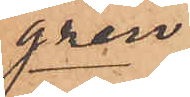gren.
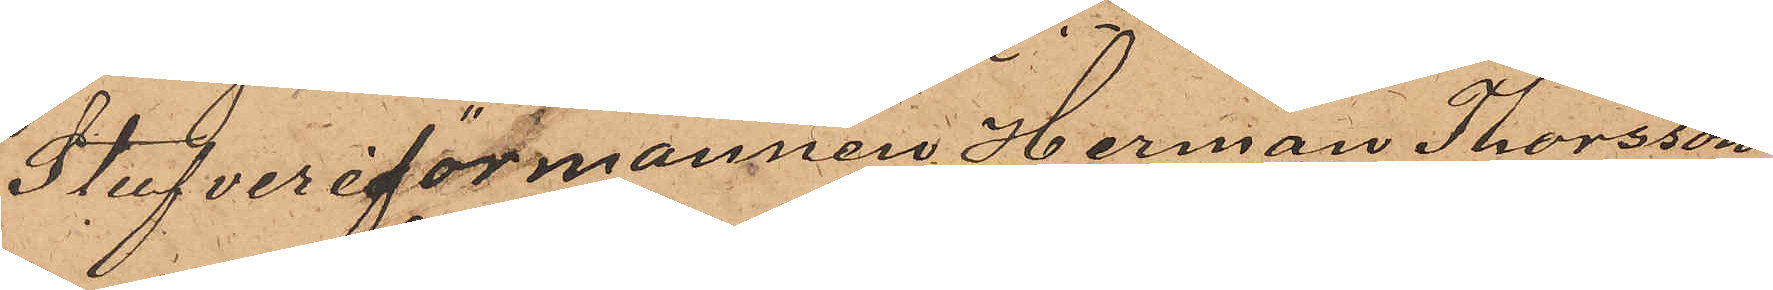Stufveriförmannen Herman Thorsson
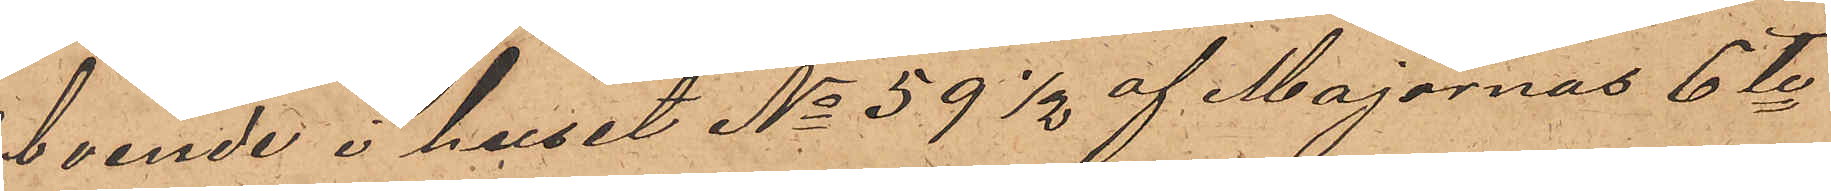boende i huset No 59½ af Majornas 6te
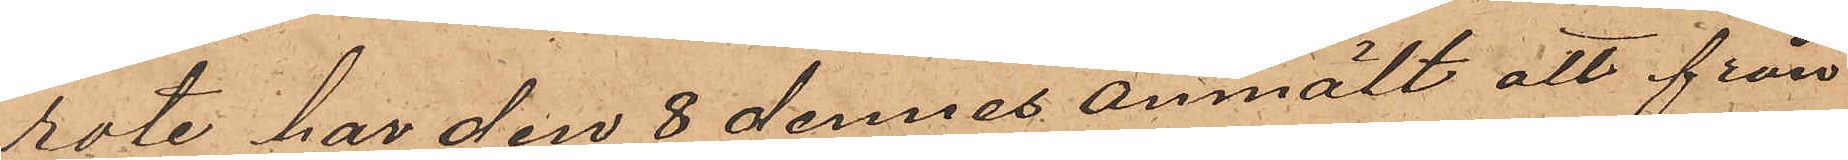rote har den 8 dennes anmält att från
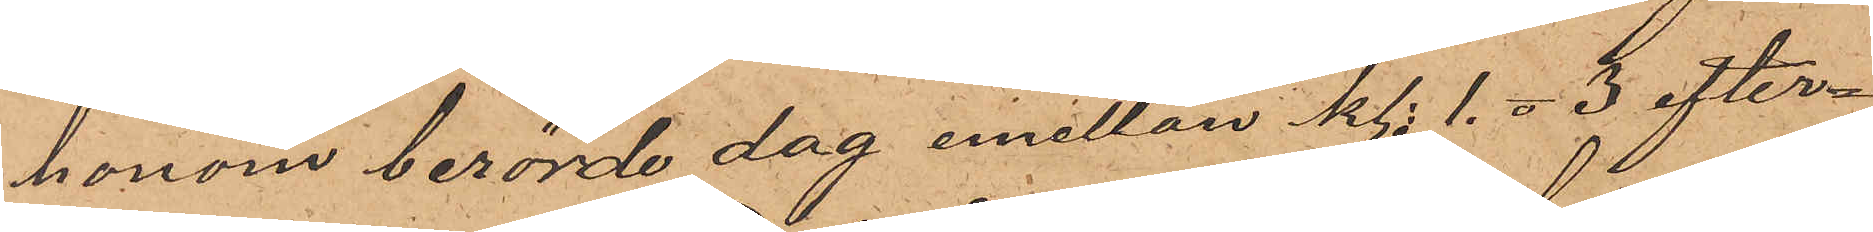honom berörde dag emellan kl. 1. o 3 efter¬
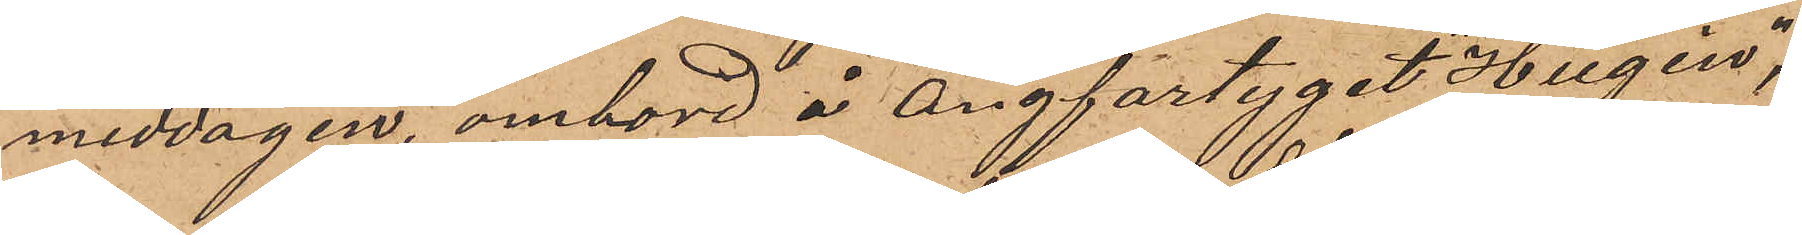middagen, ombord å Ångfartyget "Hugin",
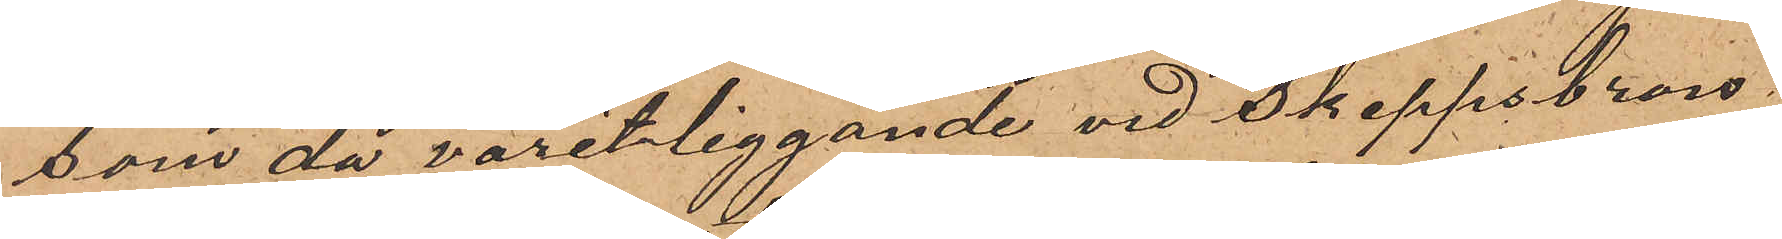som då varit liggande vid Skeppsbron
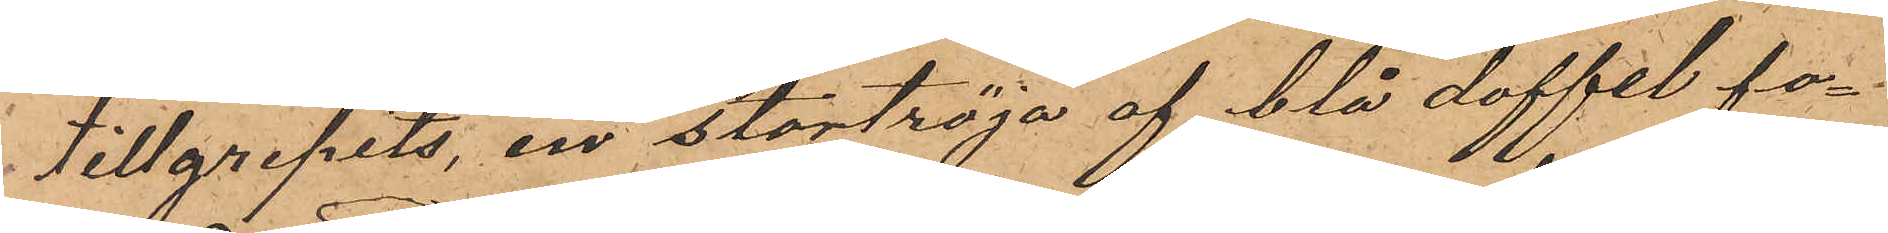tillgripits, en stortröja af blå doffel fo¬
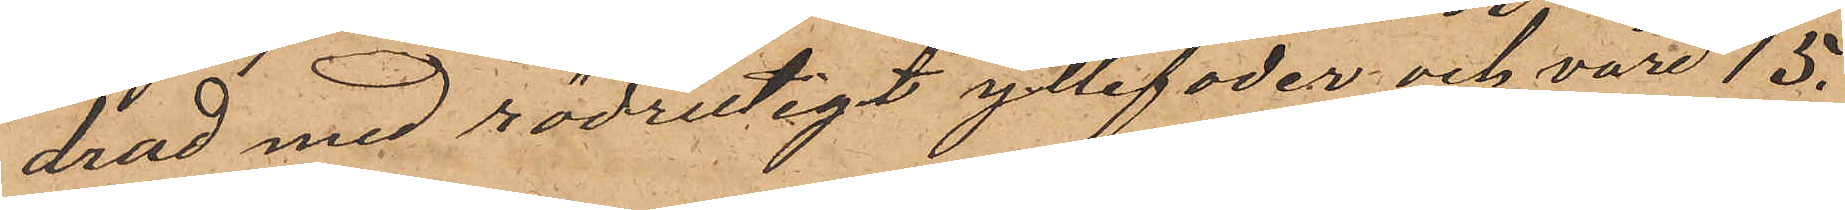drad med rödrutigt yllefoder och värd 15.
